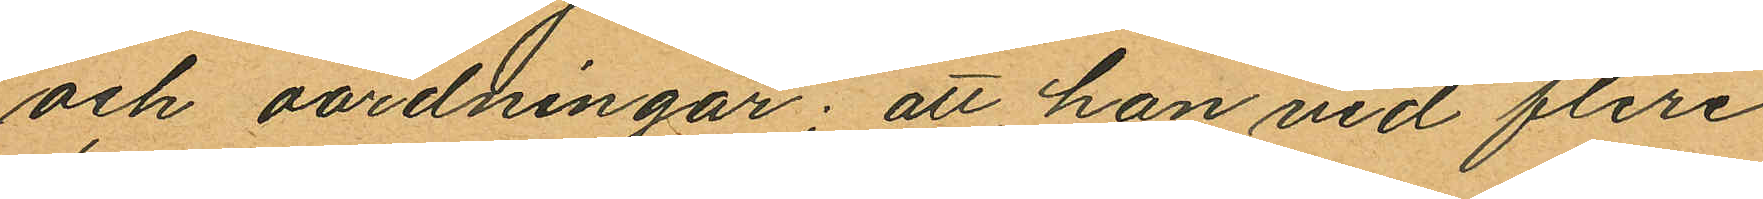och oordningar; att han vid flere
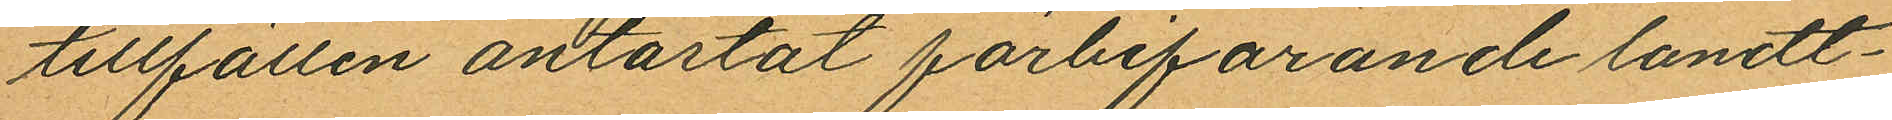tillfällen antastat förbifarande landt¬
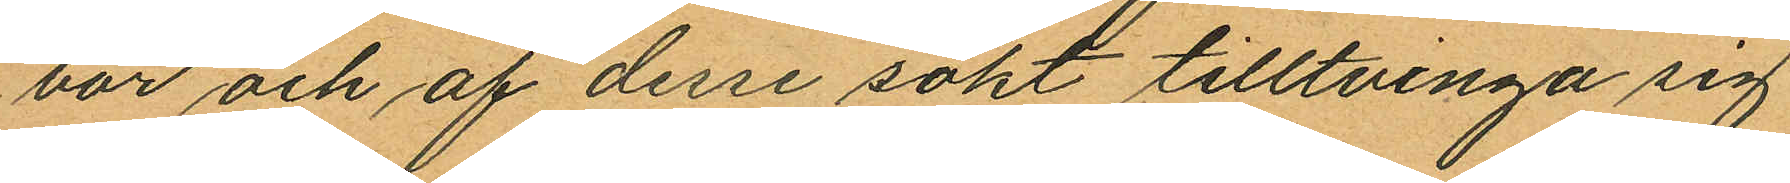bor och af desse sökt tilltvinga sig
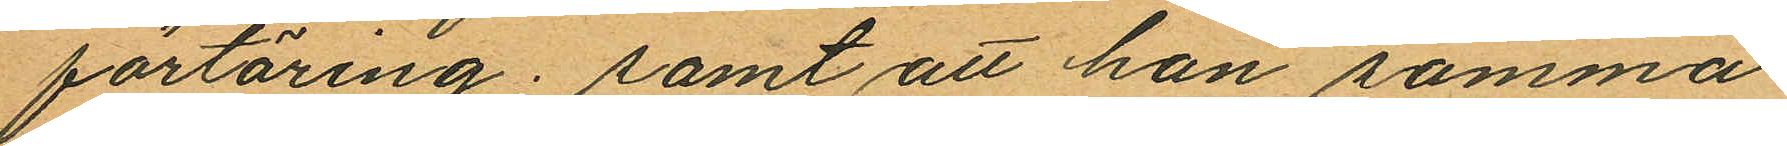förtäring; samt att han samma
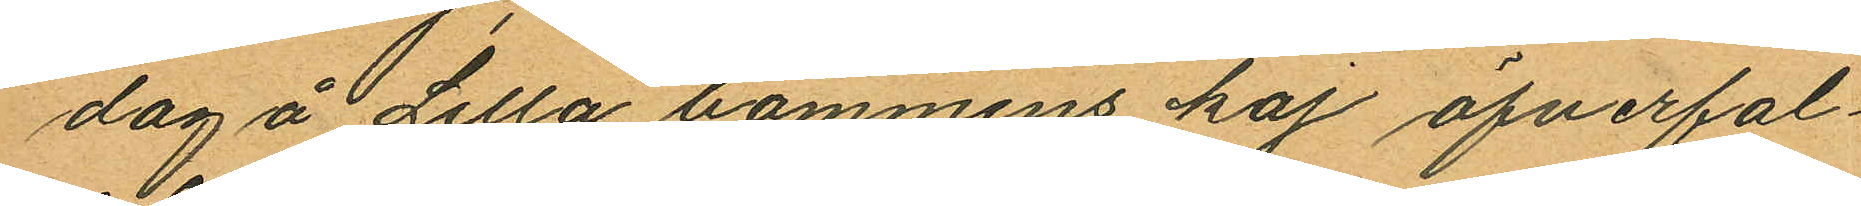dag å Lilla bommens kaj öfverfal¬
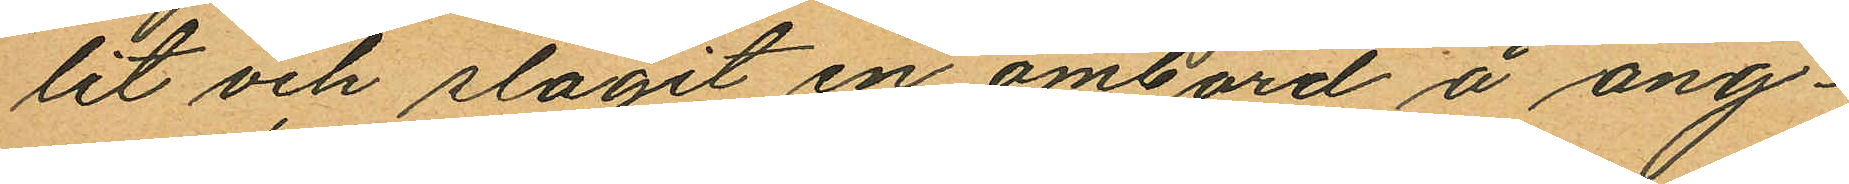lit och slagit en ombord å ång¬
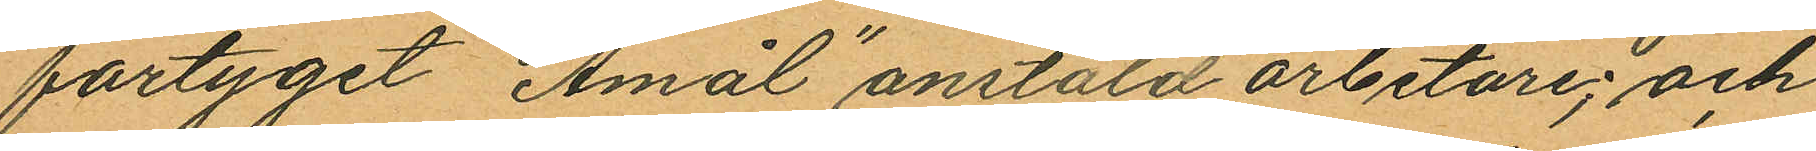fartyget "Åmål" anstäld arbetare; och
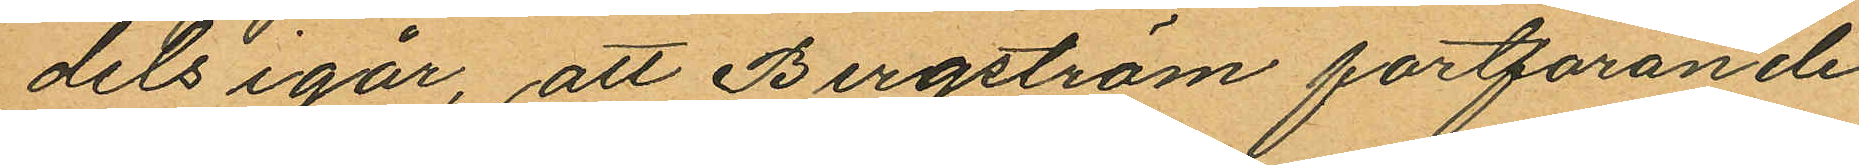dels igår, att Bergström fortfarande
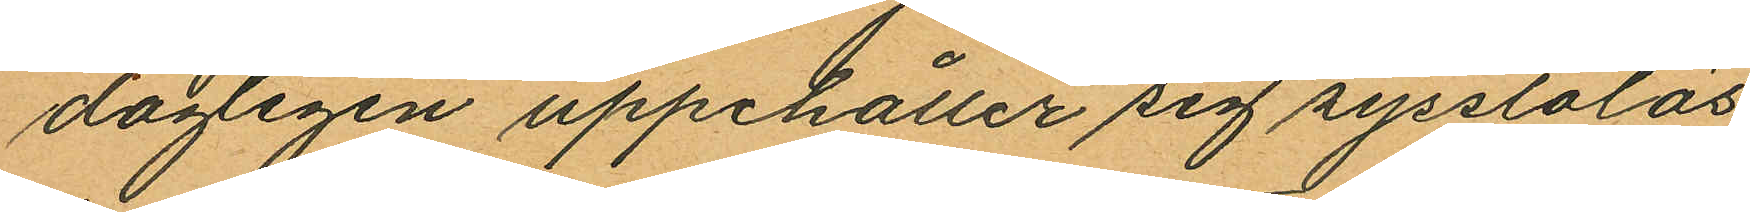dagligen uppehåller sig sysslolös
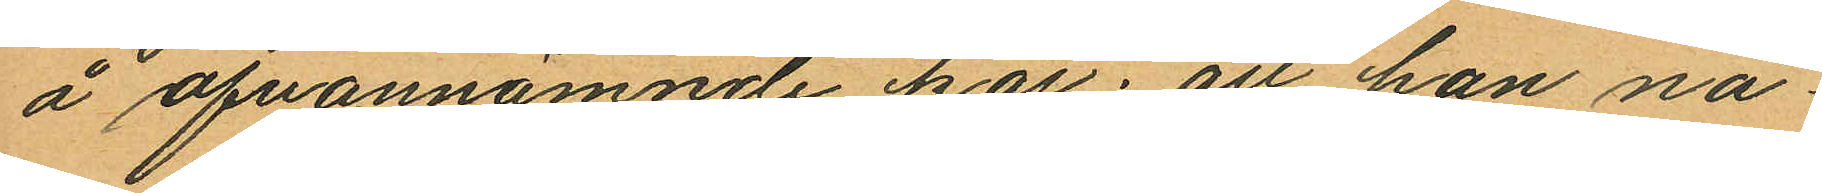å ofvannämnde kaj; att han nå¬
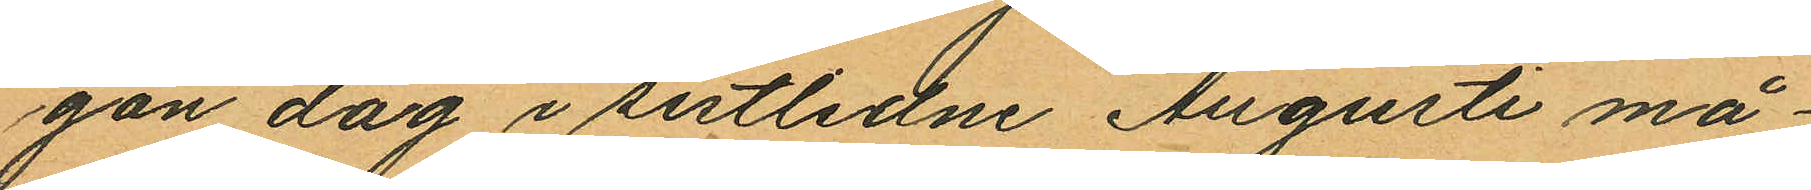gon dag i sistlidne Augusti må¬
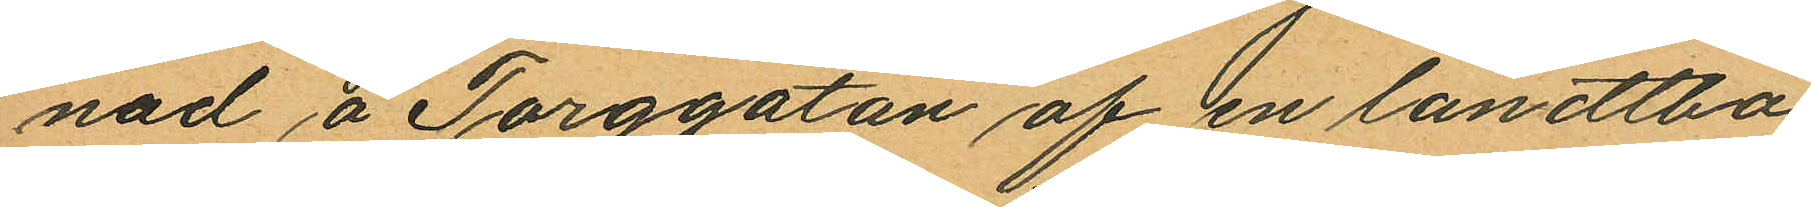nad å Torggatan af en landtbo
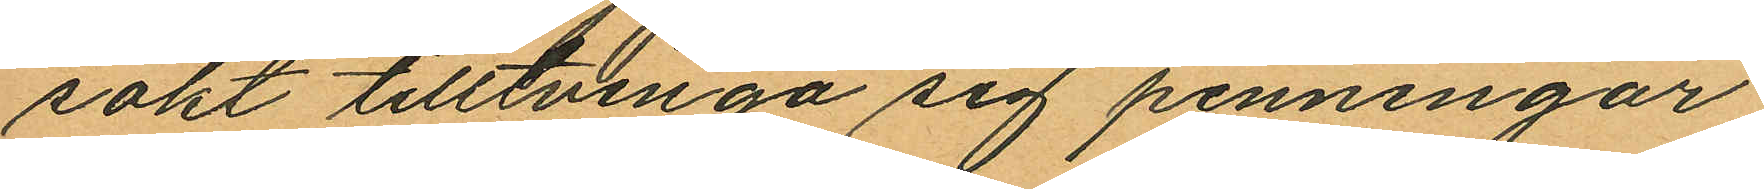sökt tilltvinga sig penningar;
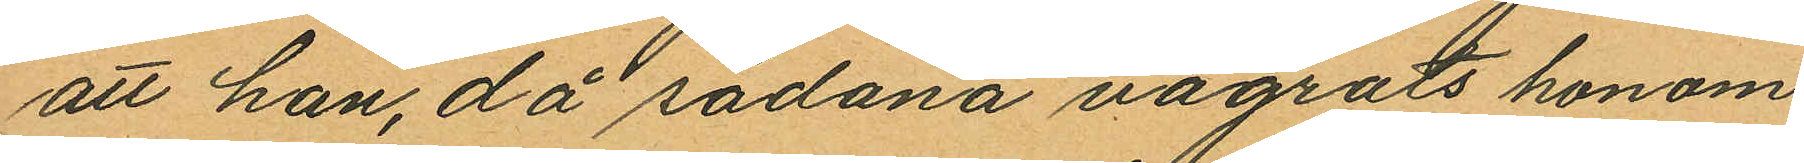att han, då sådana vägrats honom
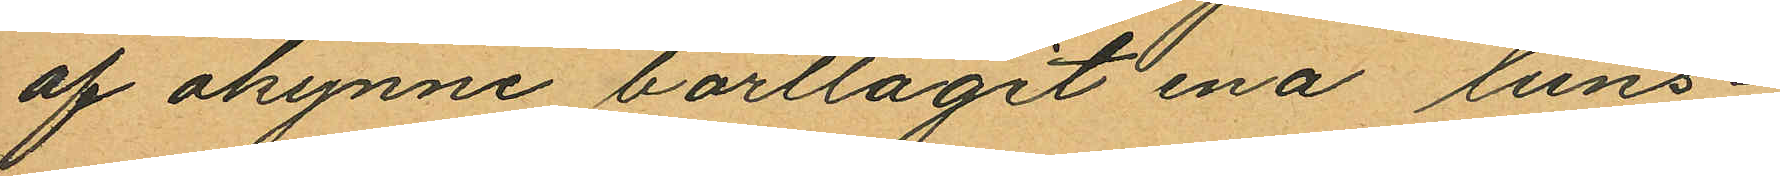af okynne borttagit ena luns¬
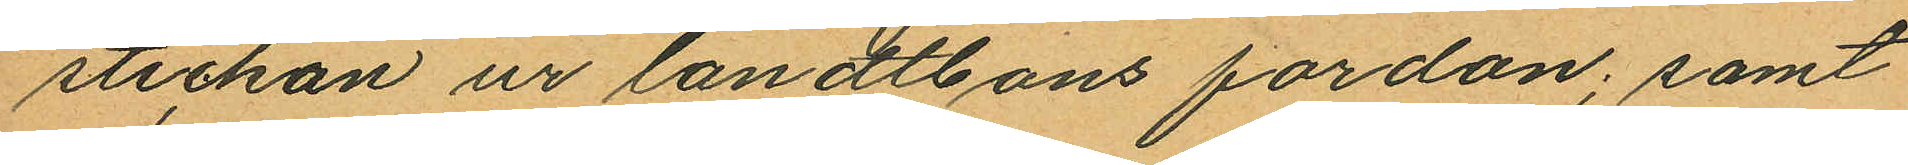stickan ur landtbons fordon; samt
